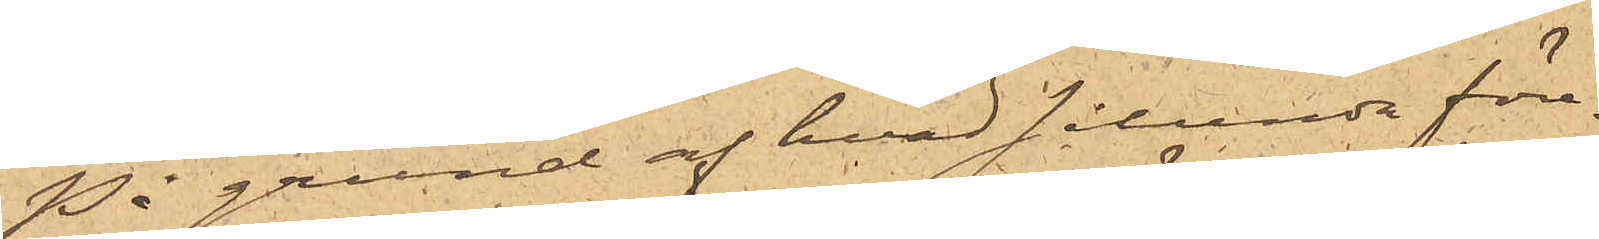På grund af hvad sålunda före¬
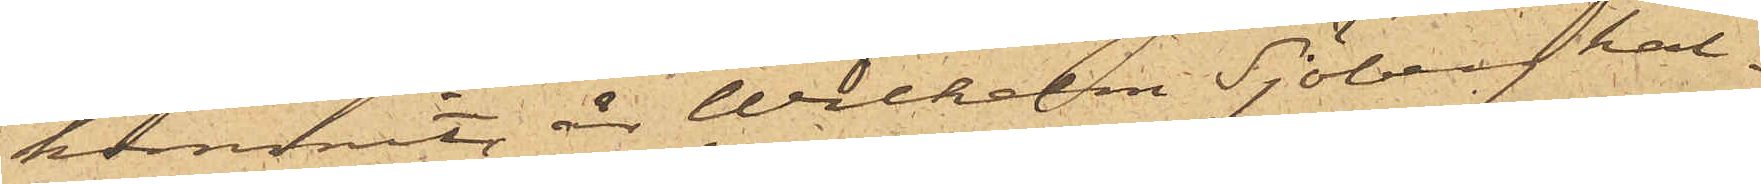kommit, är Wilhelm Sjöberg kal¬
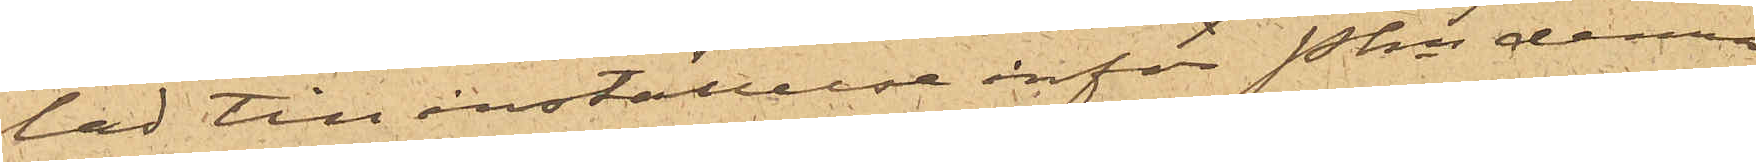lad till inställelse inför Pkn denna
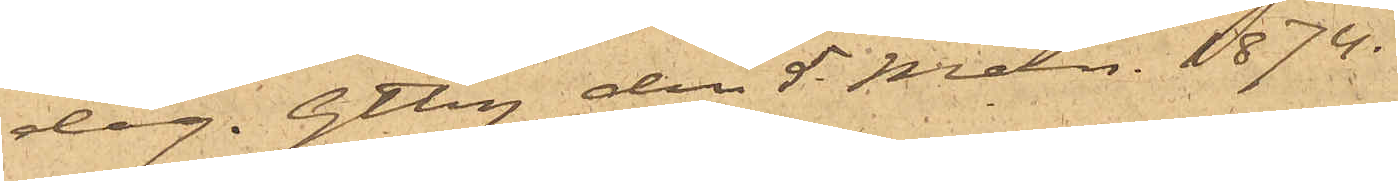dag. Gtbg den 5. Mars 1874.
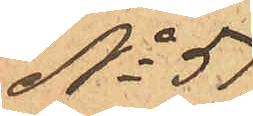No 51
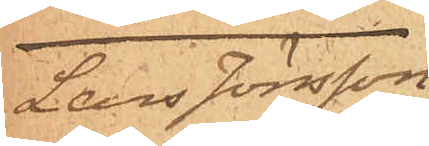Lars Jönsson
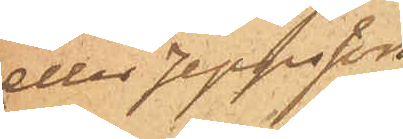eller Jeppsson
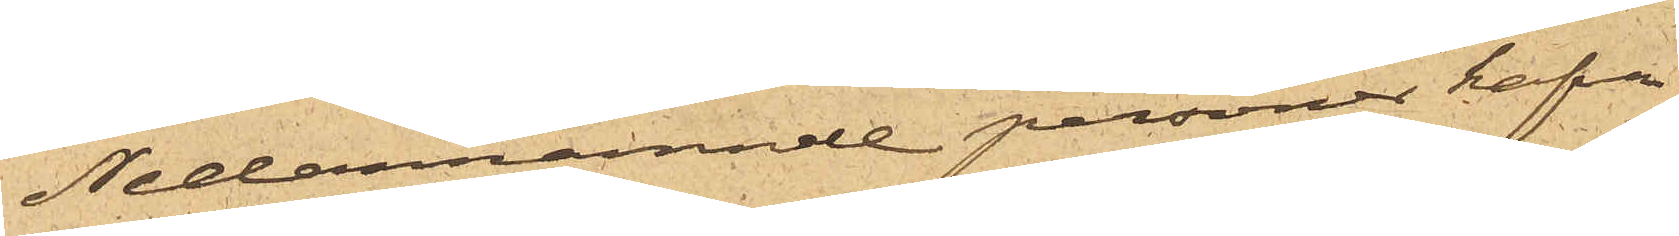Nedannämnde personer hafva
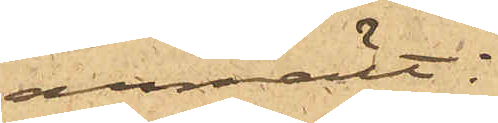anmält:
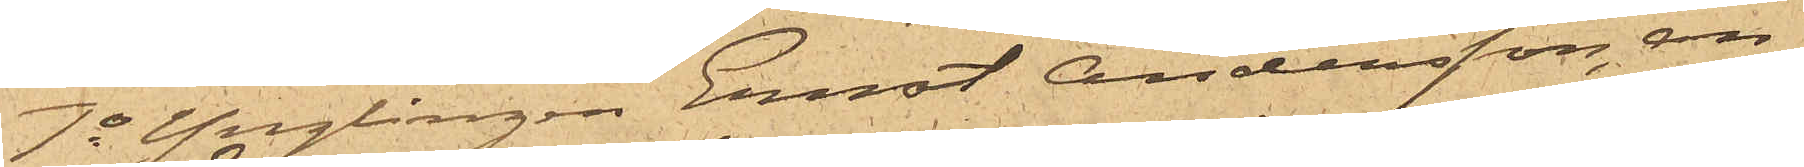1o Ynglingen Ernst Andersson, an¬
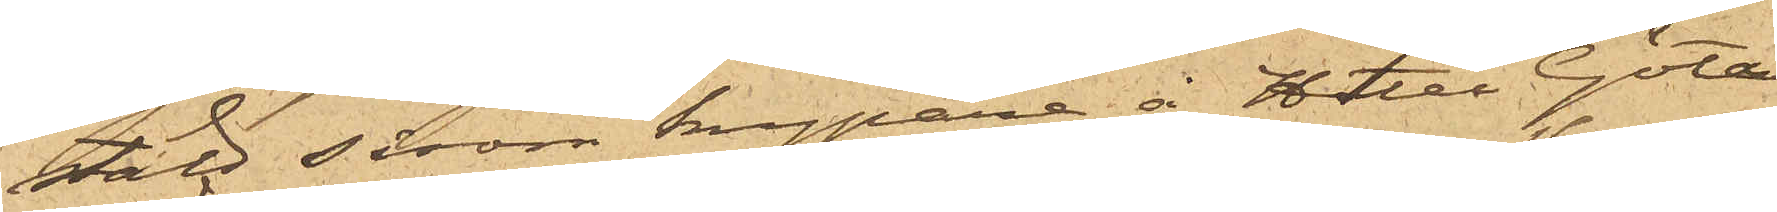stäld såsom kypare å Hotel Göta
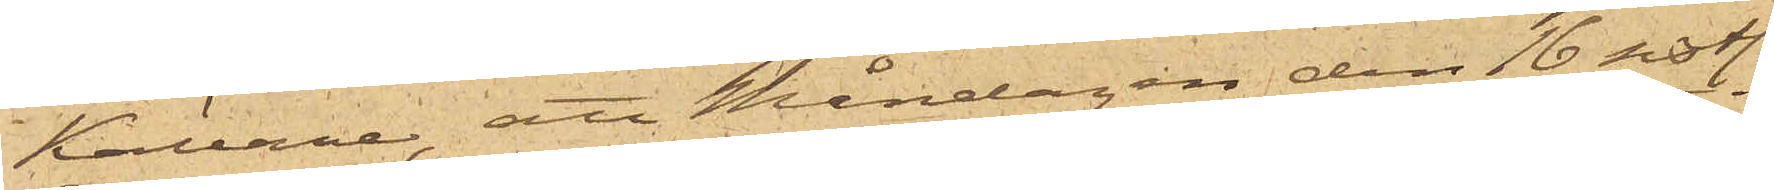Källare, att Måndagen den 16 sist.
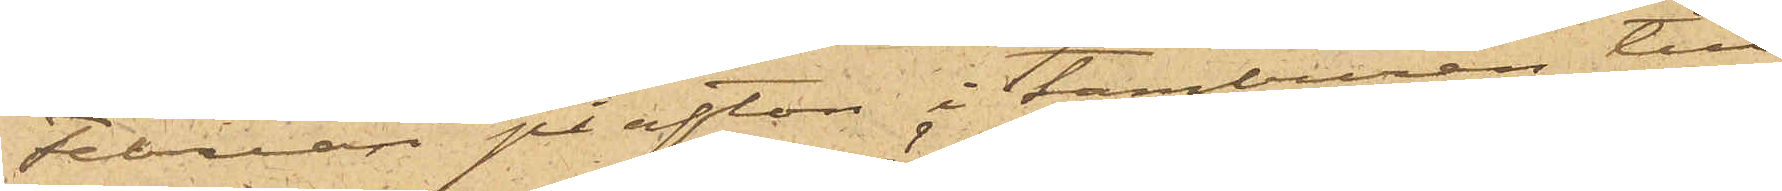Februari på afton i tamburen till
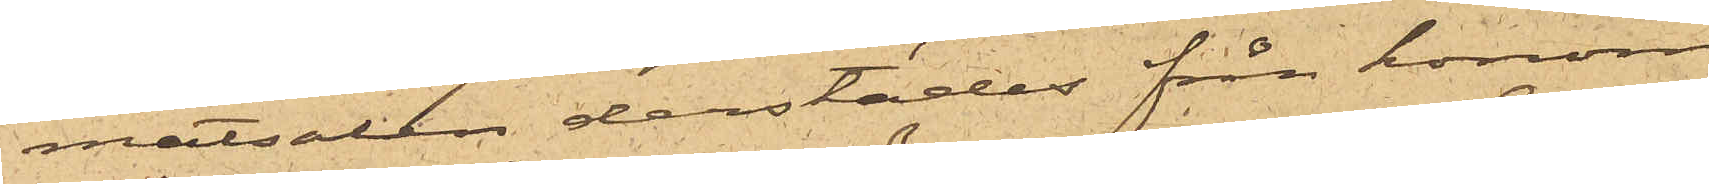matsalen derstädes från honom
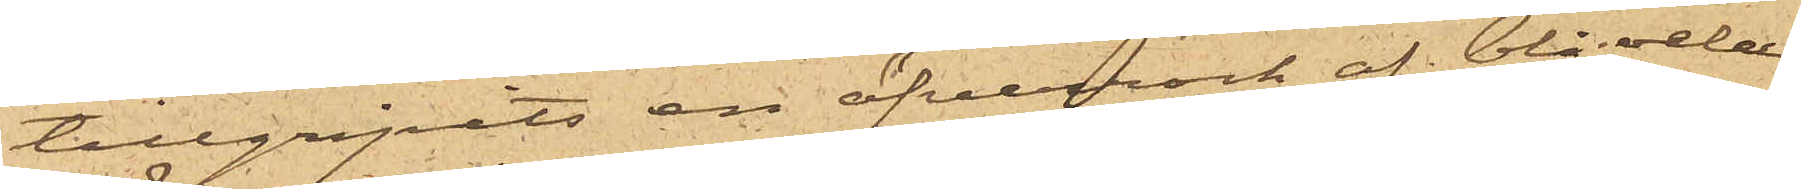tillgripits en öfverrock af blå velour,
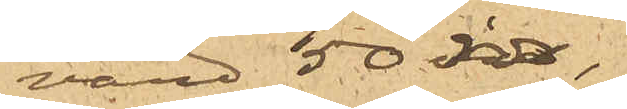värd 50 rdr,
